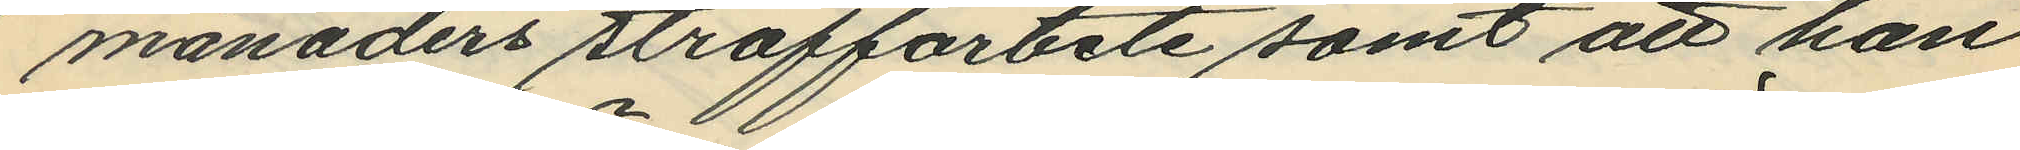månaders straffarbete samt att han
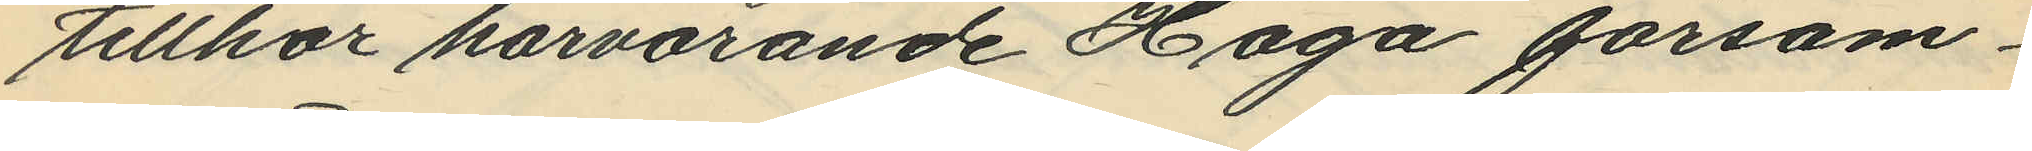tillhör härvarande Haga försam¬
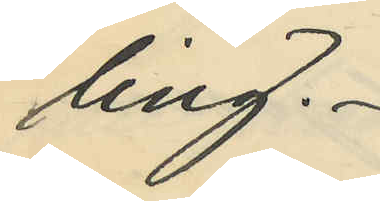ling.
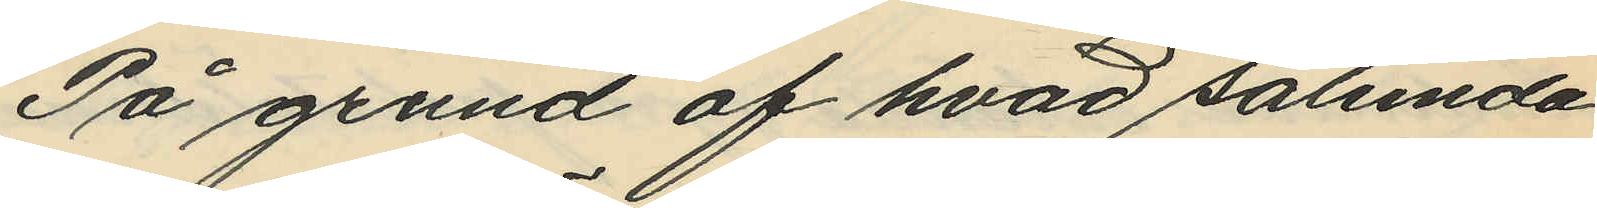På grund af hvad sålunda
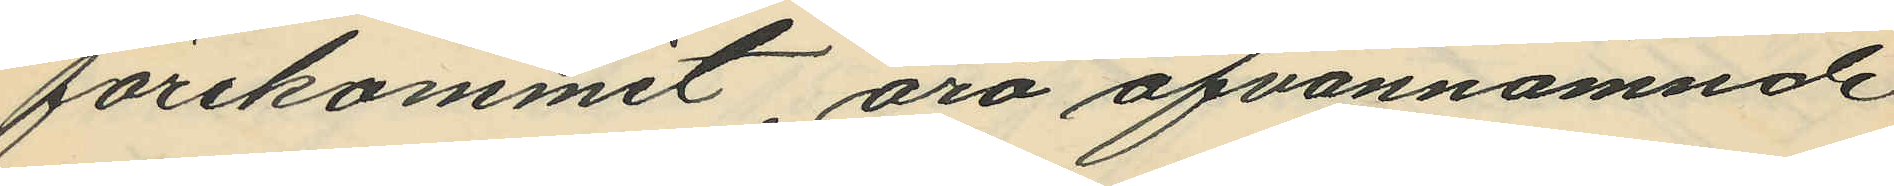förekommit, äro ofvannämnde
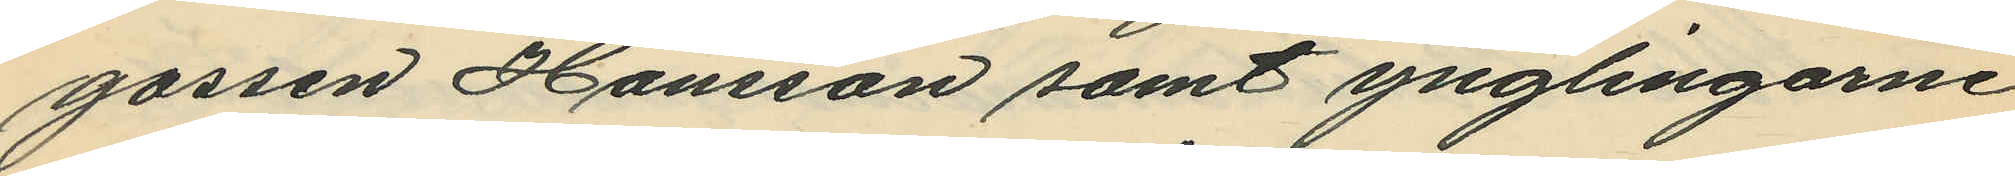gossen Hansson samt ynglingarne
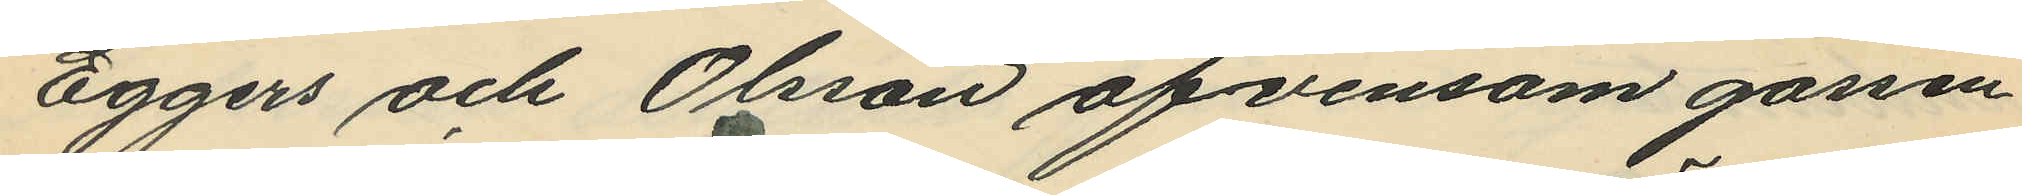Eggers och Olsson äfvensom gossen
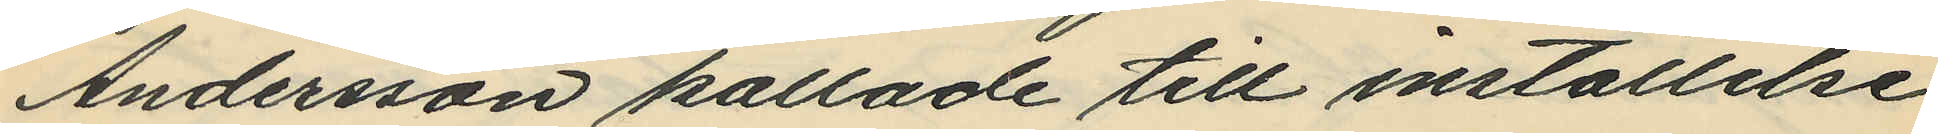Andersson kallade till inställelse
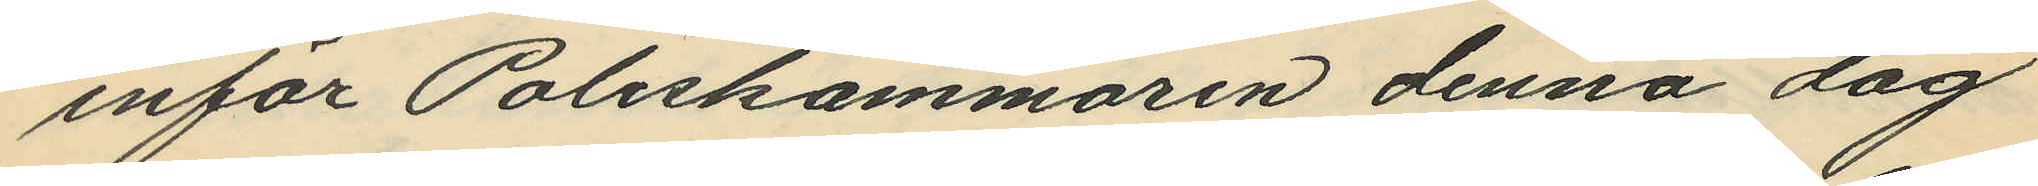inför Poliskammaren denna dag
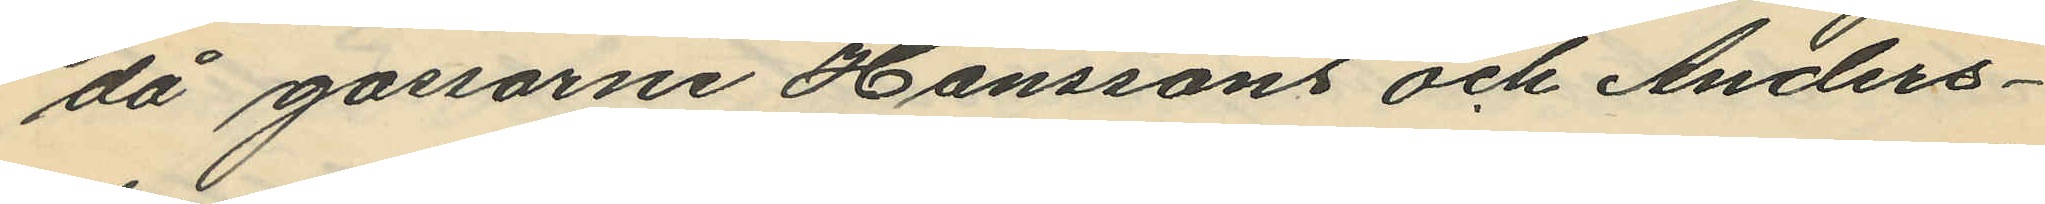då gossarne Hanssons och Anders¬
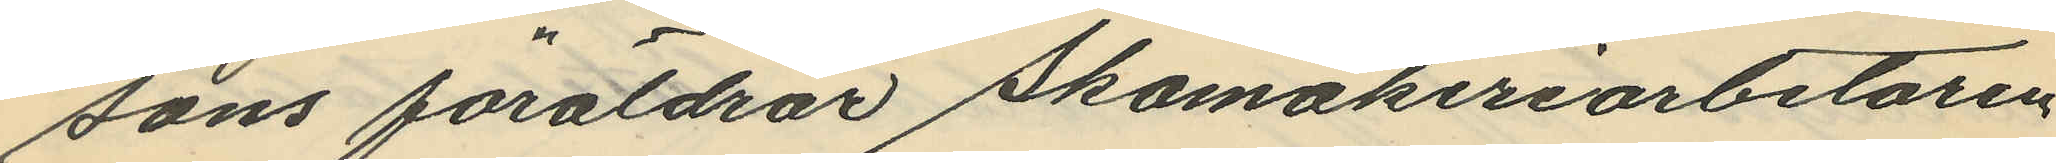sons föräldrar Skomakeriarbetaren
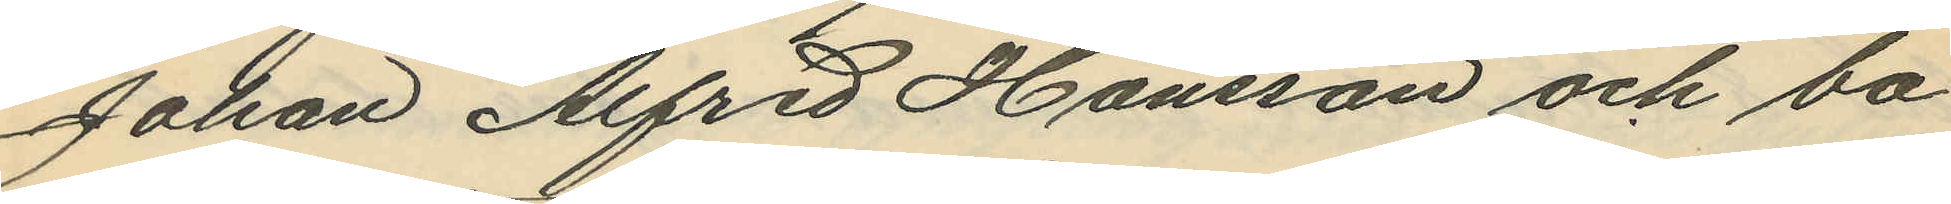Johan Alfred Hansson och ba¬
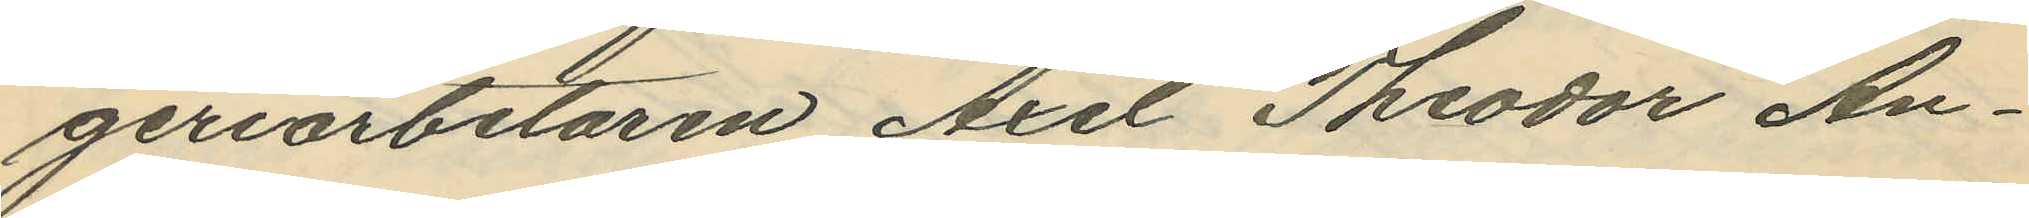geriarbetaren Axel Theodor An¬
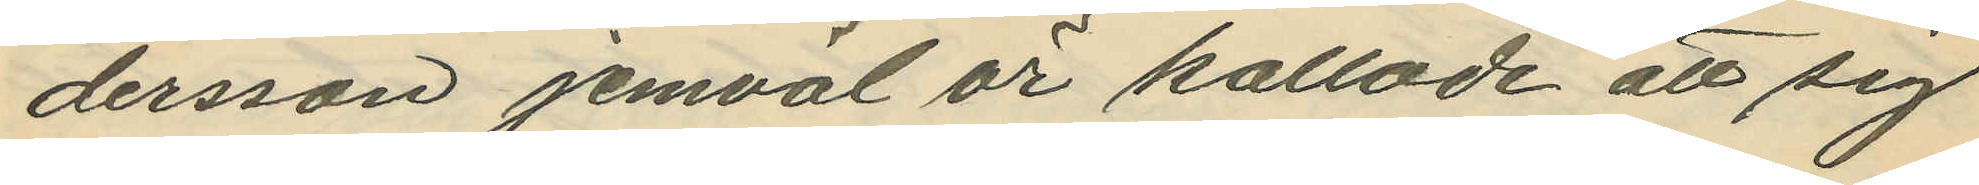dersson jemväl är kallade att sig
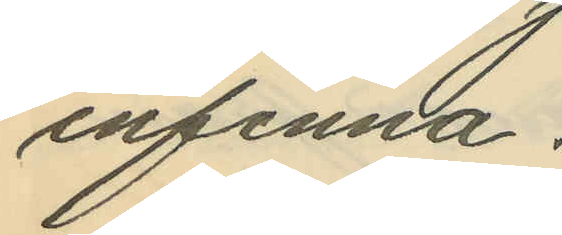infinna.
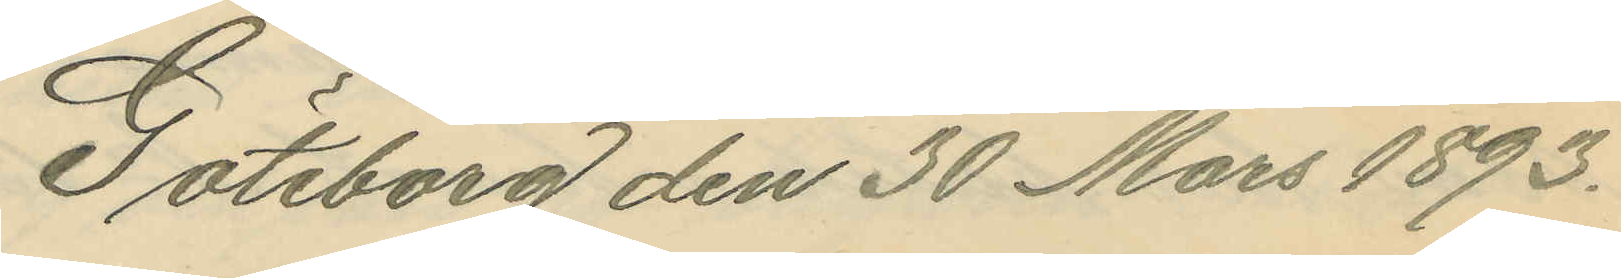Göteborg den 30 Mars 1893.
